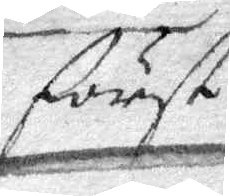först
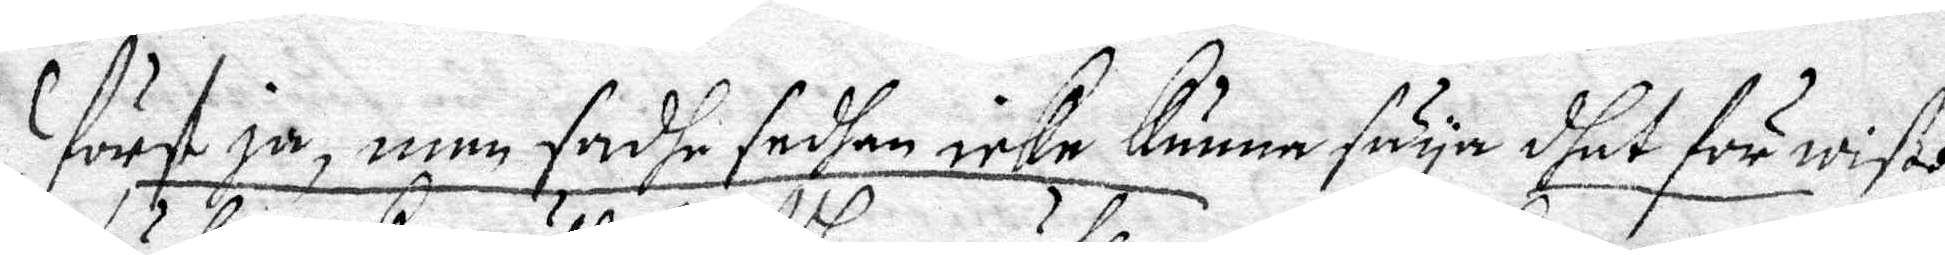först ja, men sadhe sedhan icke kunna säya dhet för wiße
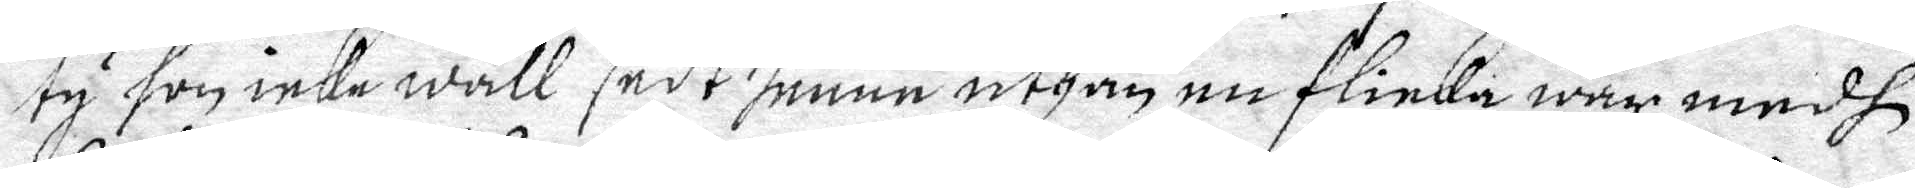ty hon icke wäll sadt henne uthan nu flicka war medh
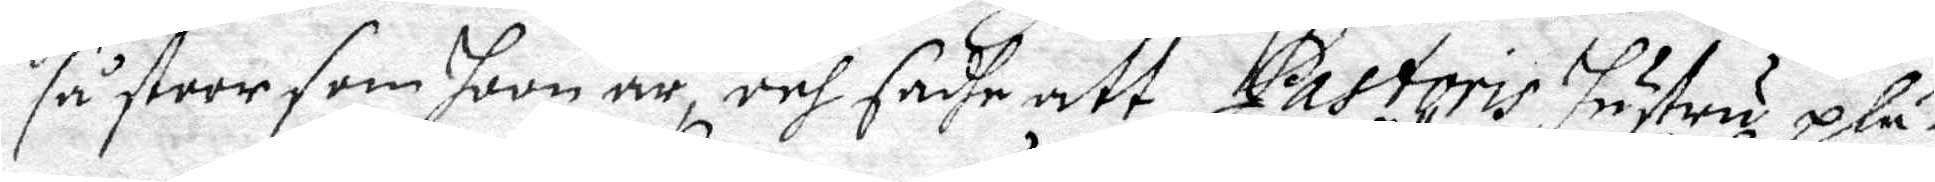så stoor som hoon är och sadhe att Pastoris hustru plä¬
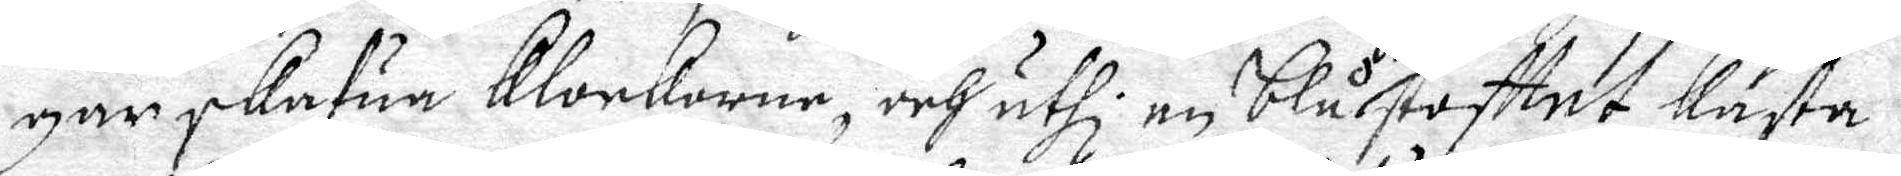gar skafua Klockarne, och uthi en blå Siö stoftet Kasta.
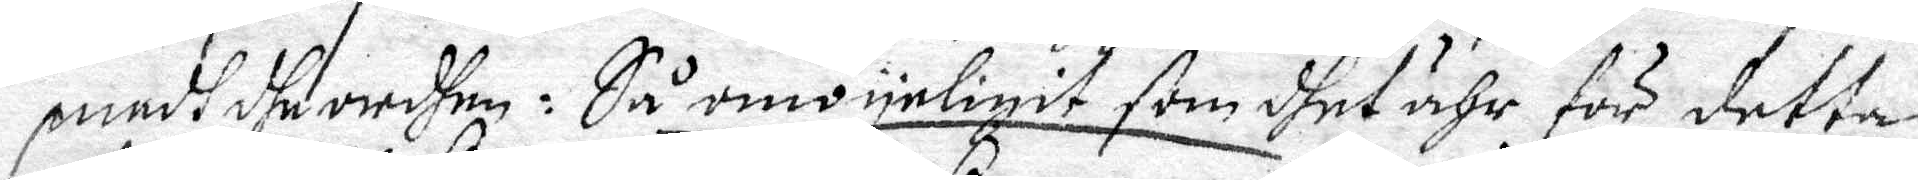medh de ordhen: Så omöyeligit som dhet ähr för detta
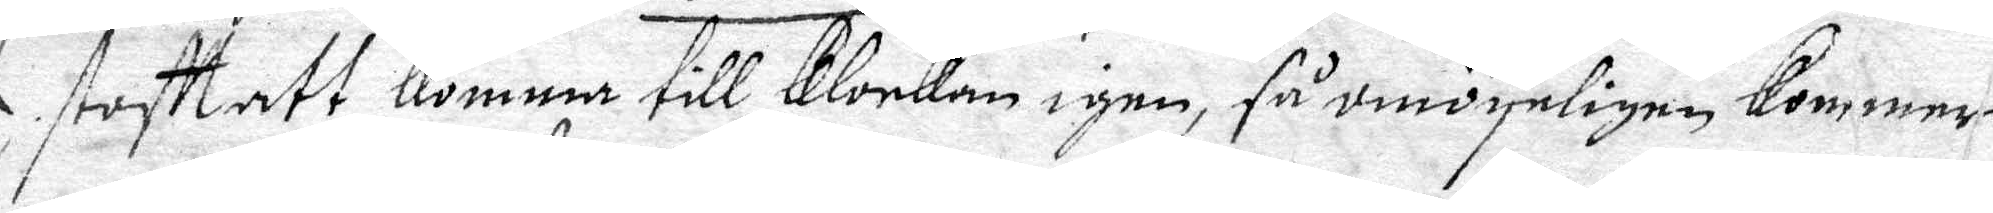stoftett Komma till Klockan igen, så omöyeligen kommer
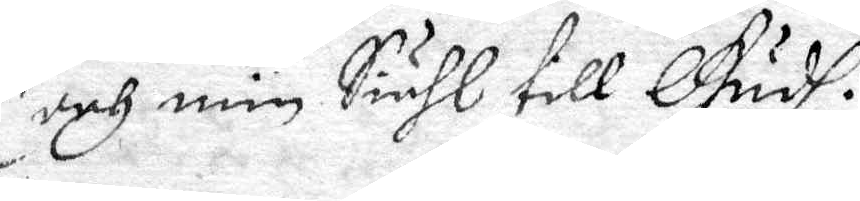och min Siähl till Gudh.
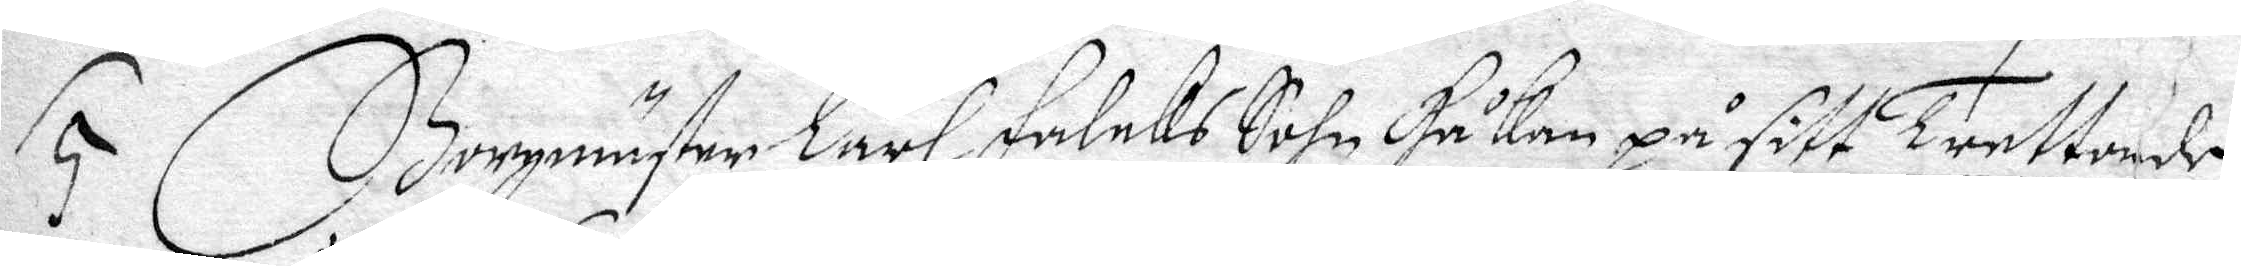5. Borgmästes Karl Falcks Sohn Håkan på sitt Trettionde
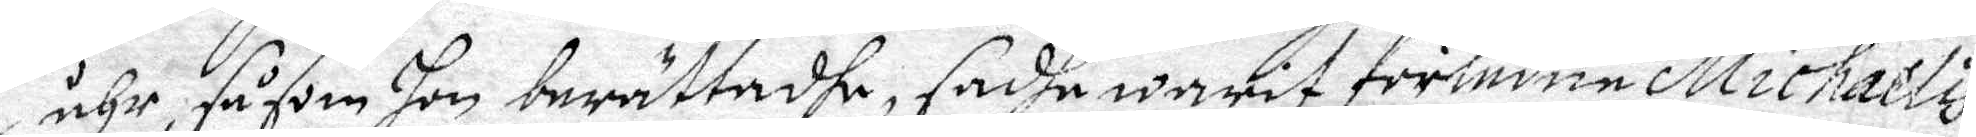åhr, såsom hon berättadhe, sadha warit förledne Michaels
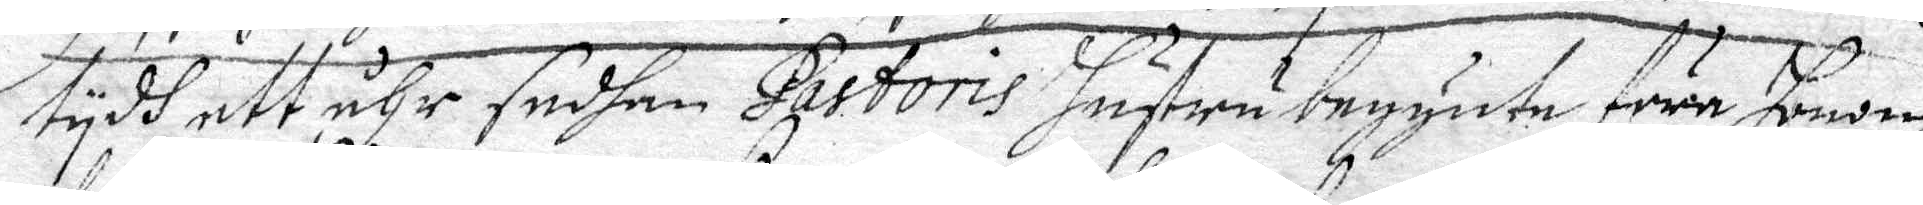tydh ett åhr sedhan Pastoris Hustru begynte föra honom
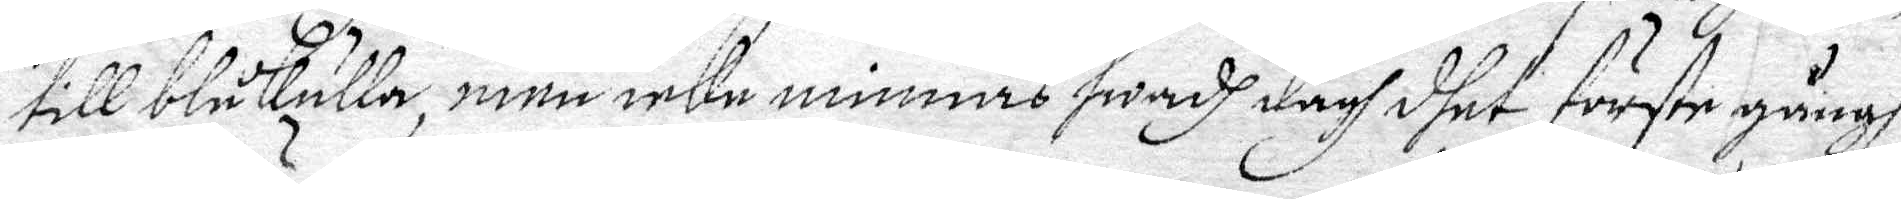till blåkulla, men icke minnas hwadh dagh dhet förste gångh
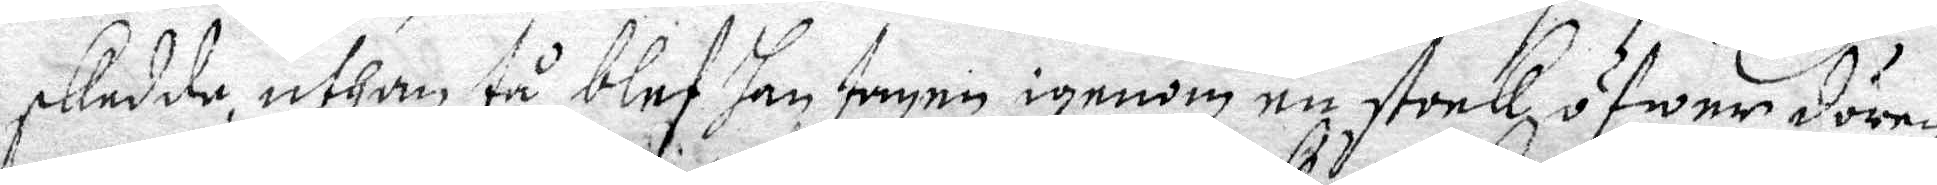skedde, uthan tå blef han tagen igenom en stock öfwer dören,
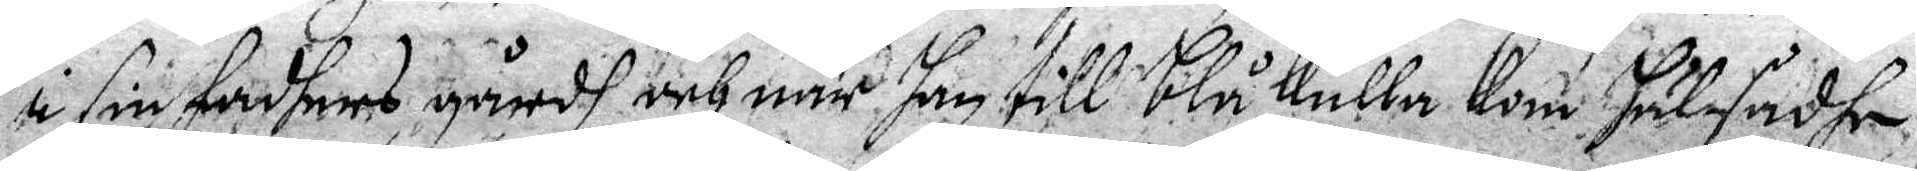i sin fadhers gårdh, och när han till Blåkulla Kom hälsadhe,
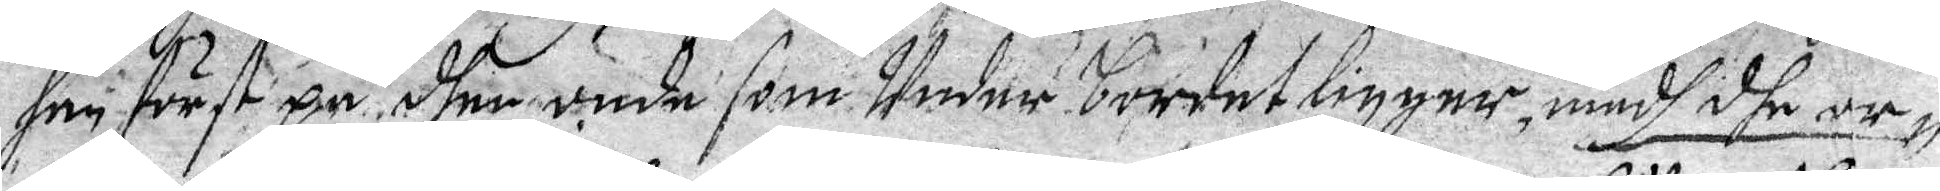han först på dhen onde som Under bordet ligger, medh dhe or¬
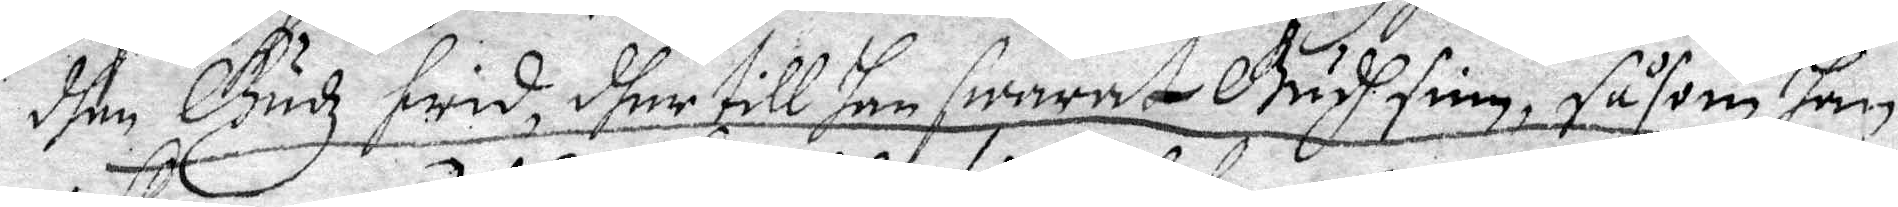dhen Gudz fridz, dher till han swarat Gudh sinn, såsom han
